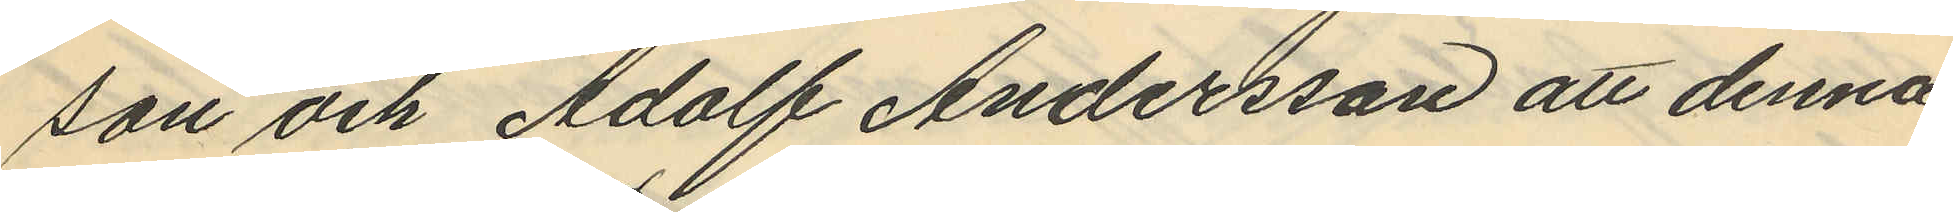son och Adolf Andersson att denna
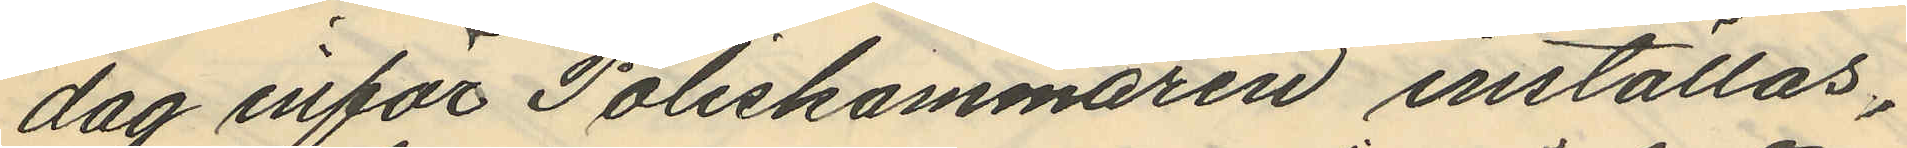dag inför Poliskammaren inställas.
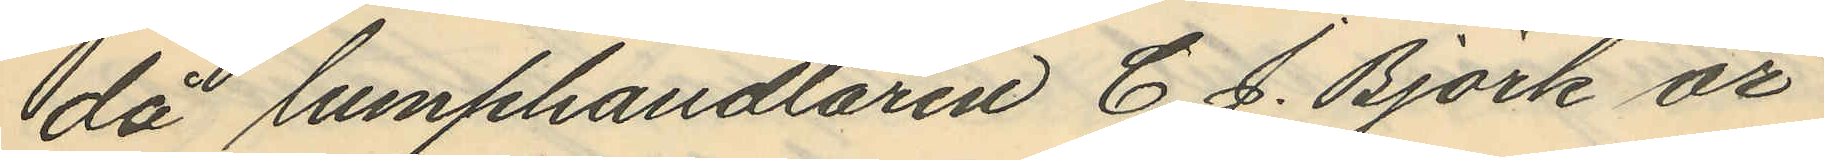då lumphandlaren C. J. Björk är
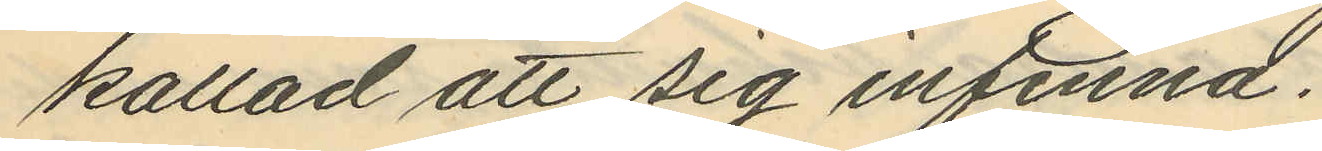kallad att sig infinna.
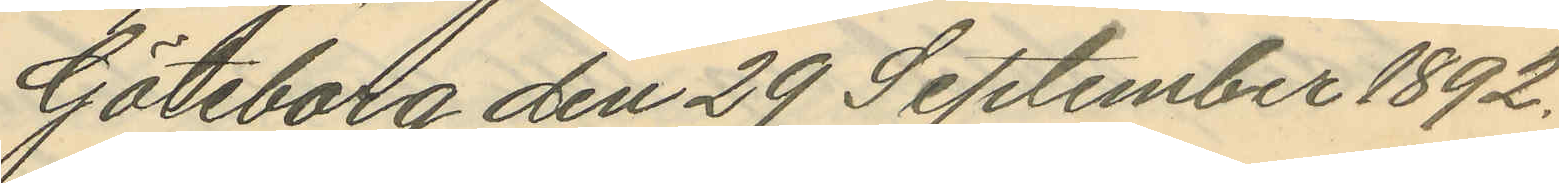Göteborg den 29 September 1892.
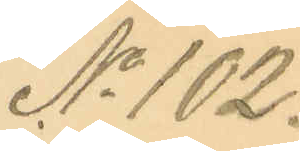No 102.
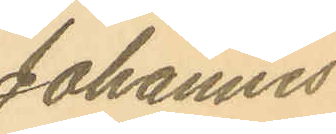Johannes
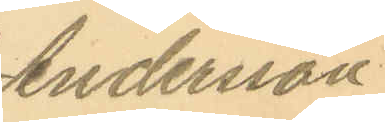Andersson
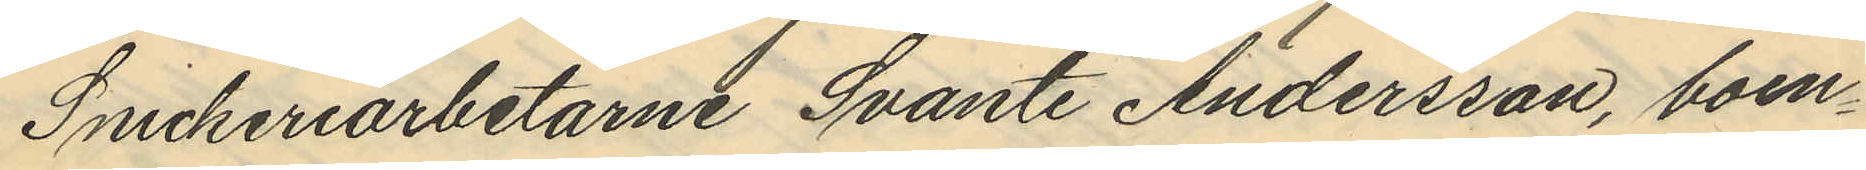Snickeriarbetarne Svante Andersson, boen¬
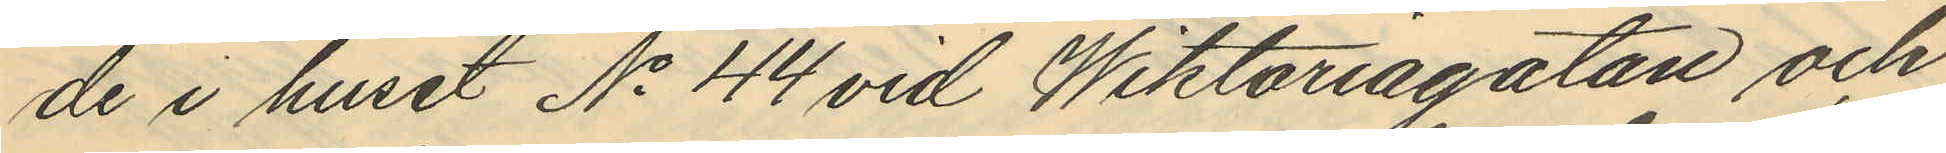de i huset No 44 vid Wiktoriagatan och
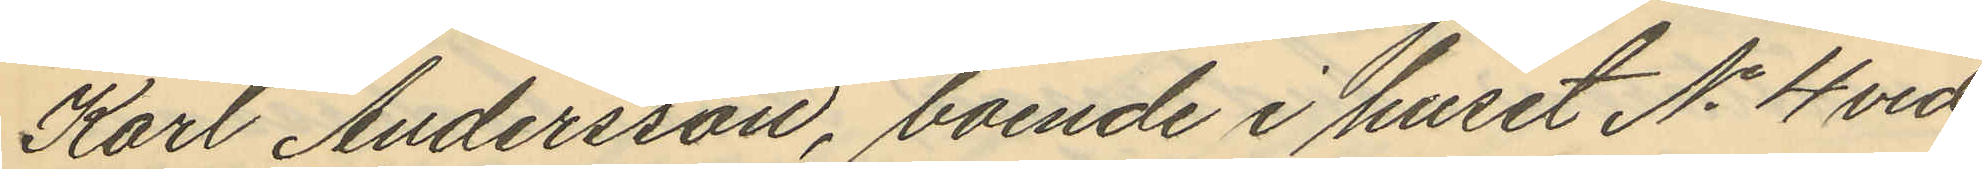Karl Andersson, boende i huset No 4 vid
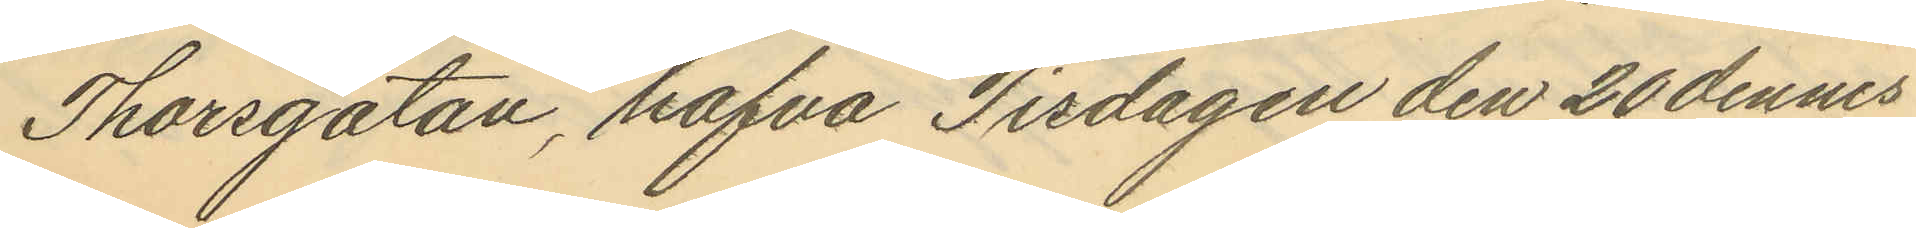Thorsgatan, hafva Tisdagen den 20 dennes
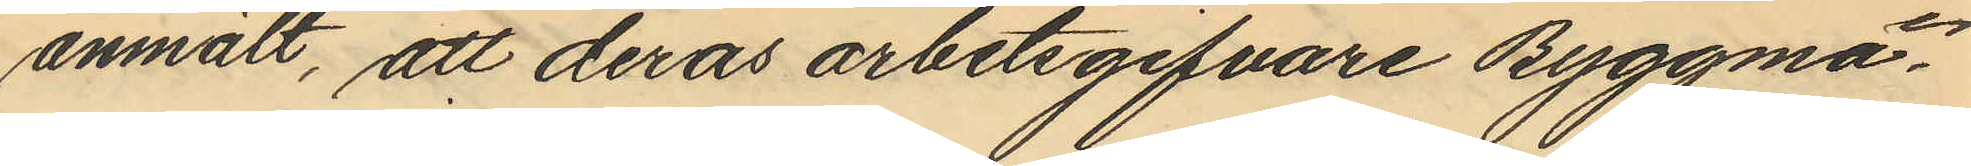anmält, att deras arbetsgifvare Byggmä¬
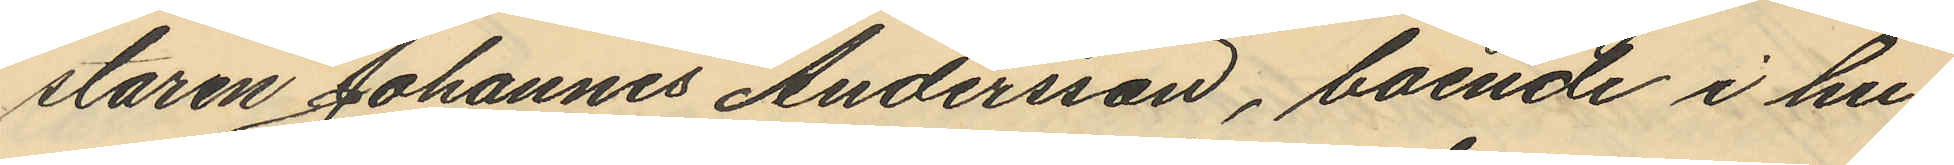staren Johannes Andersson, boende i hu¬
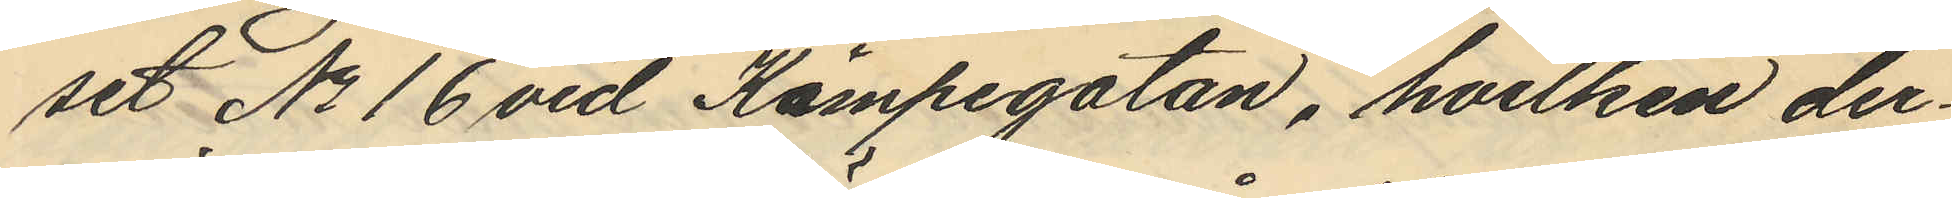set No 16 vid Kämpegatan, hvilken der¬
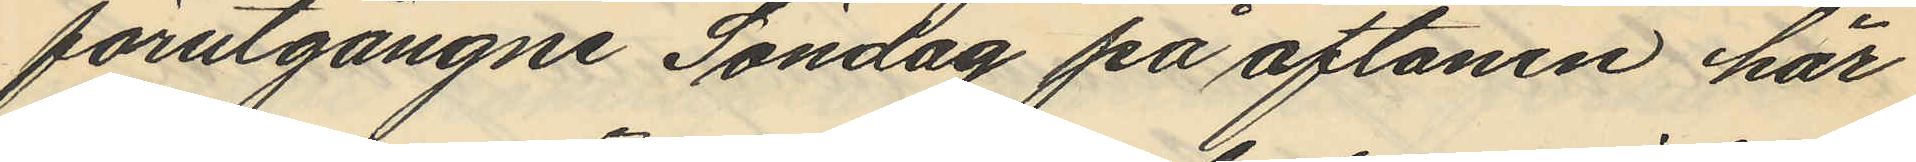förutgångne Söndag på aftonen här
